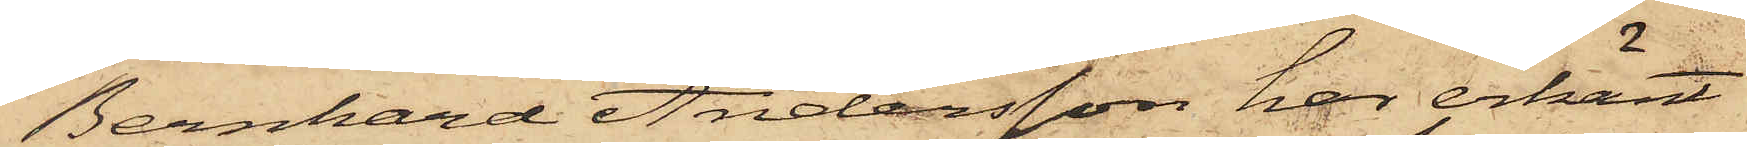Bernhard Andersson har erkänt
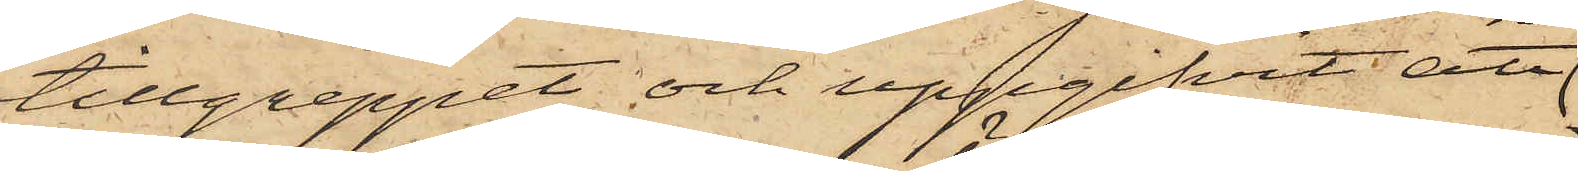tillgreppet och uppgifvit, att
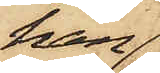han
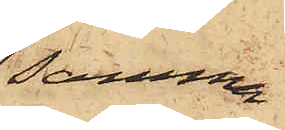samma
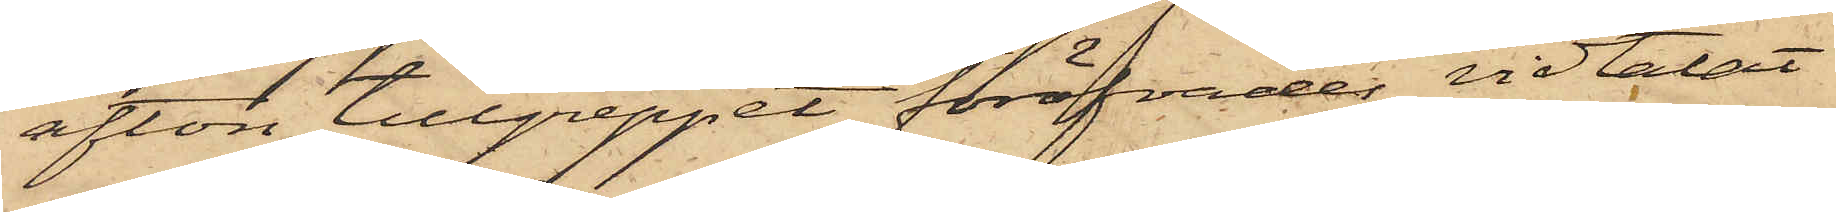afton tillgreppet föröfvades vidtalat
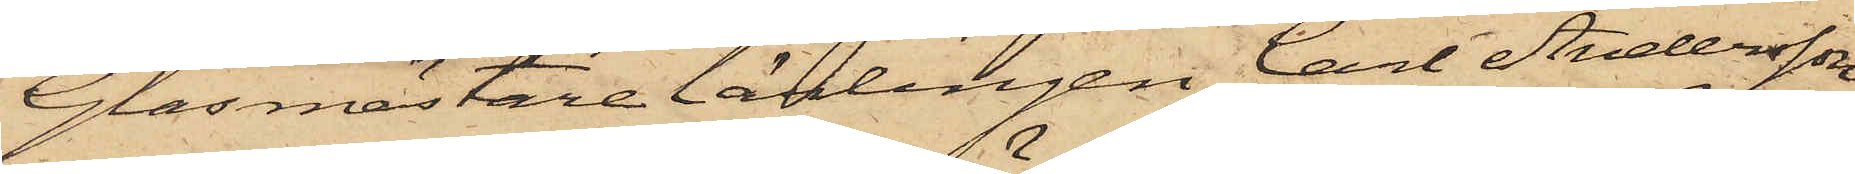Glasmästarelärlingen Carl Andersson,
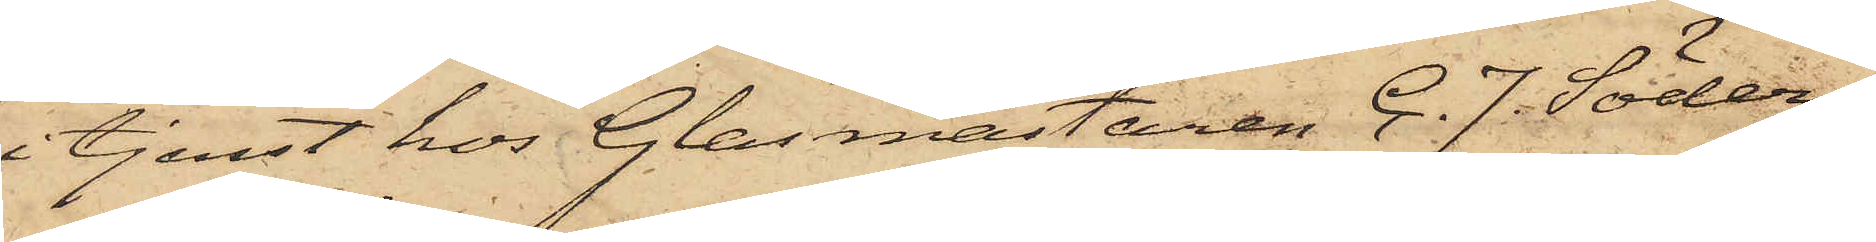i tjenst hos Glasmästaren C. J. Söder¬
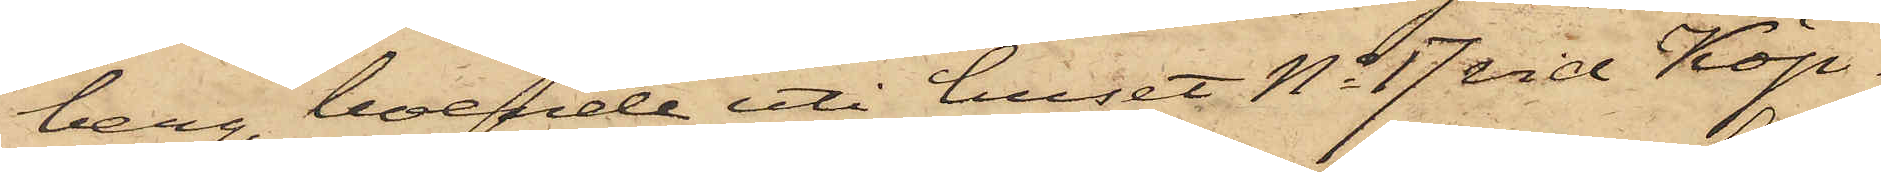berg, boende uti huset No 17 vid Köp¬
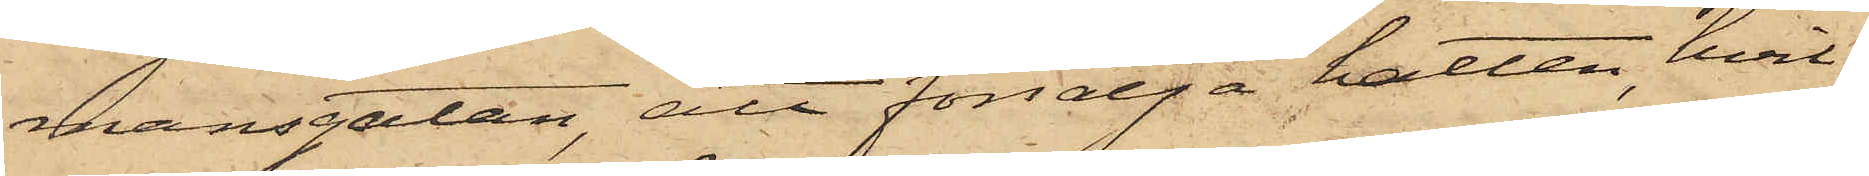mansgatan att försälja hatten, hvil¬
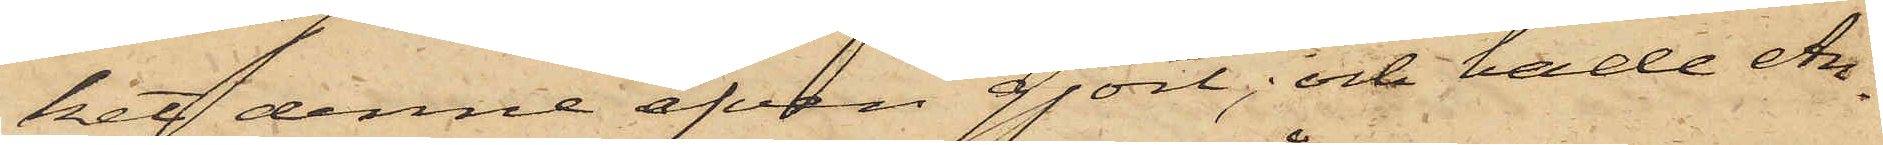ket denne äfven gjort; och hade An¬
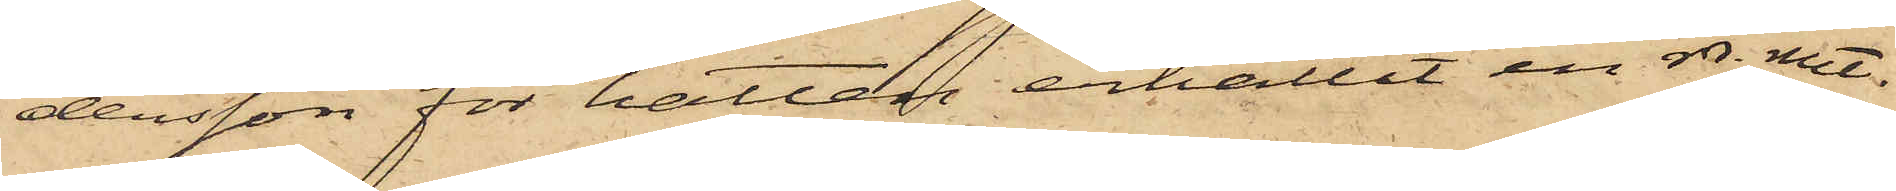dersson för hatten erhållit en rdr rmt.
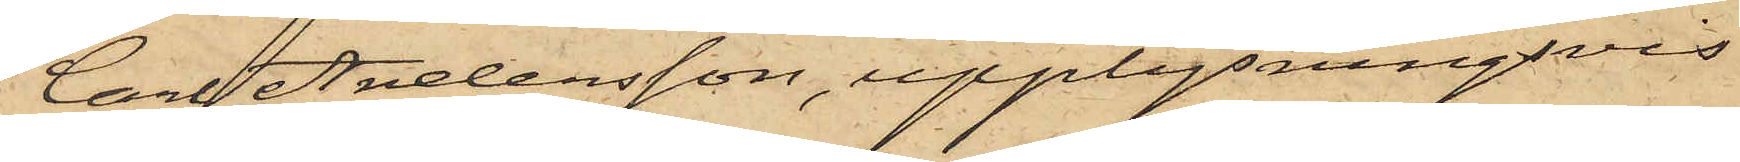Carl Andersson, upplysningsvis
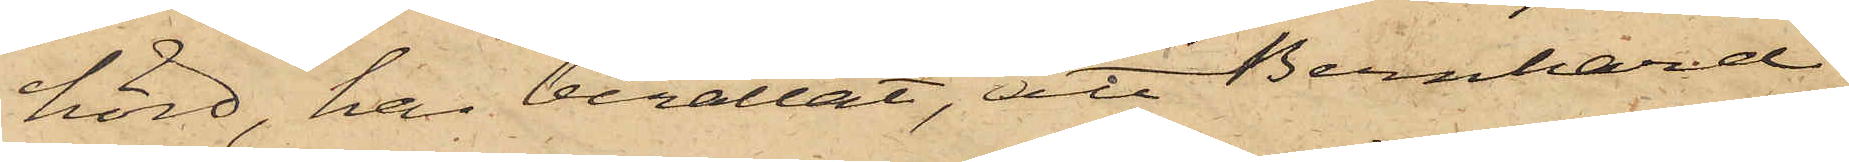hörd, har berättat, att Bernhard
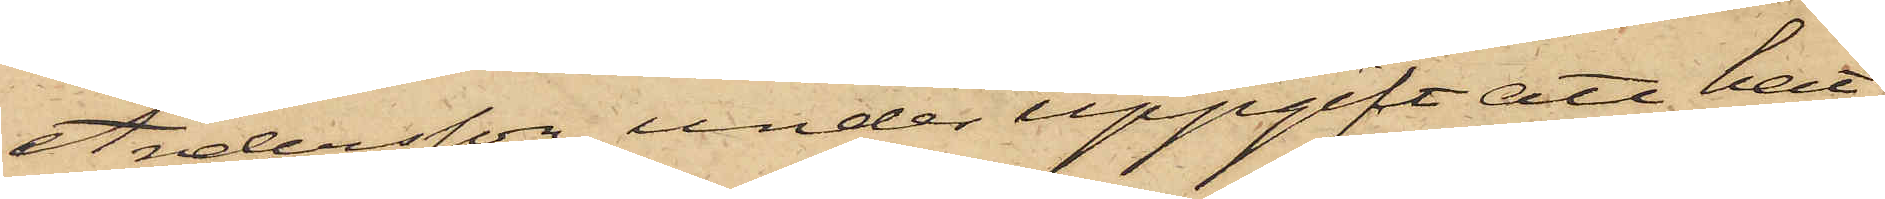Andersson, under uppgift att hat¬
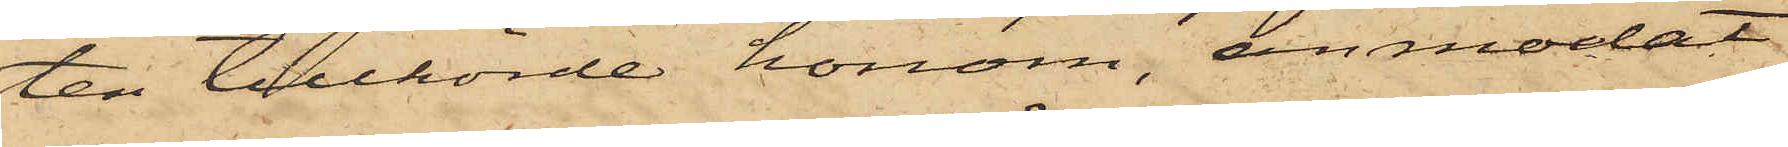ten tillhörde honom, anmodat
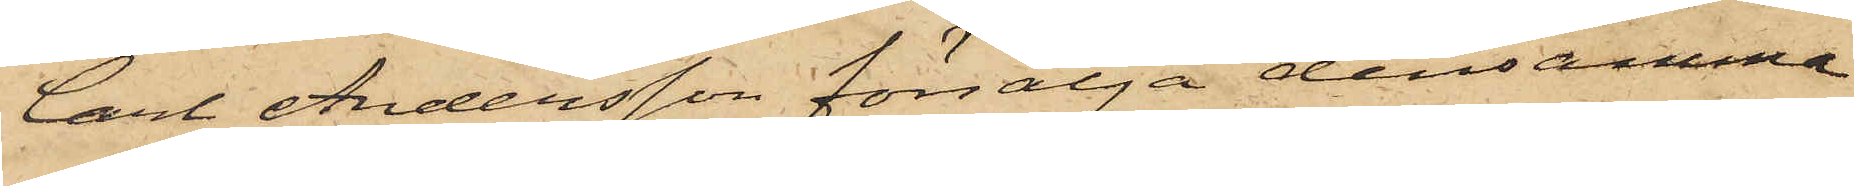Carl Andersson försälja densamma
